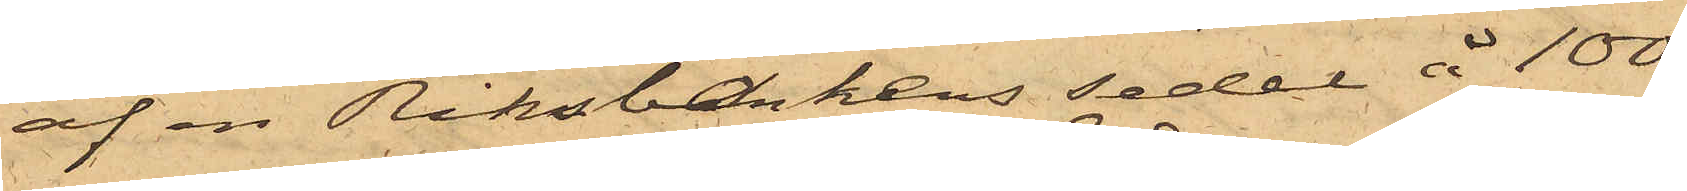af en Riksbankens sedel å 100
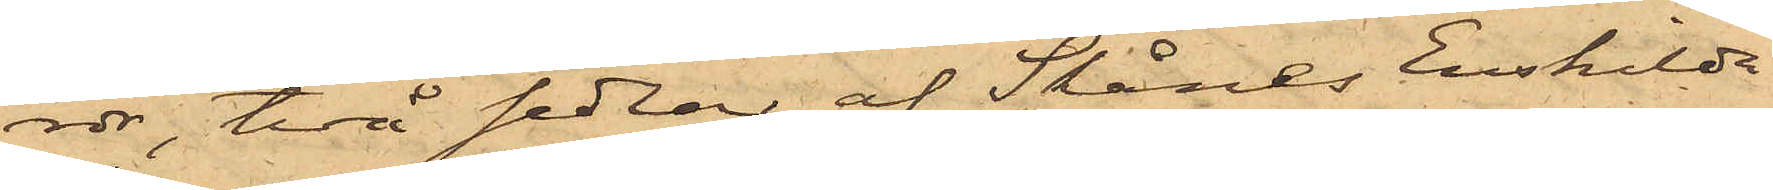rdr, två sedlar af Skånes Enskilda
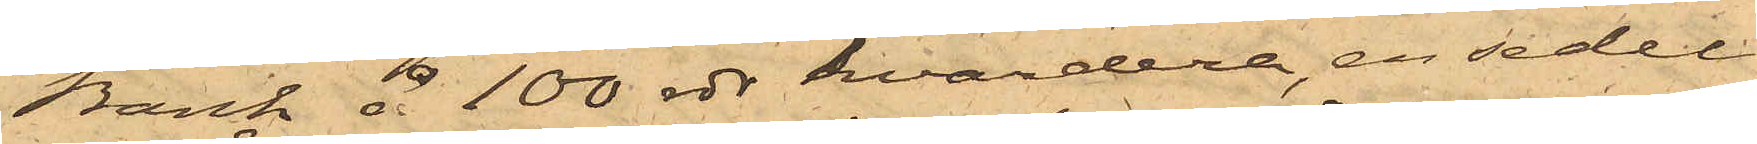Bank å 100 rdr hvardera, en sedel
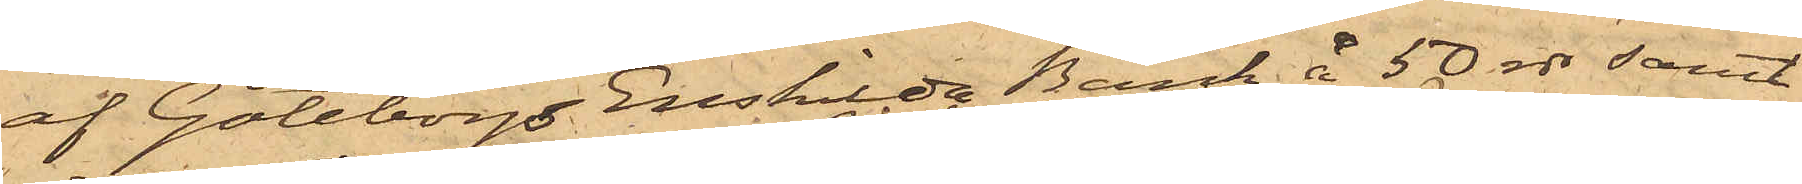af Göteborgs Enskilda Bank å 50 rdr samt
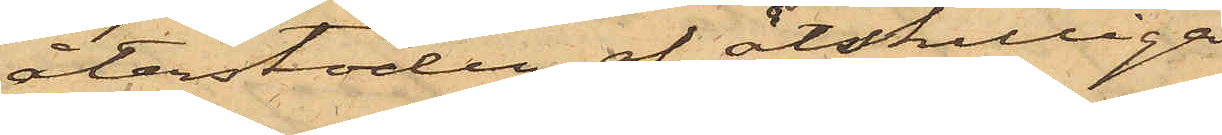återstoden af åtskilliga
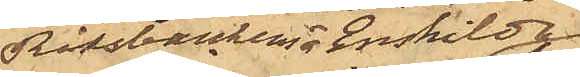Riksbankens o Enskilda
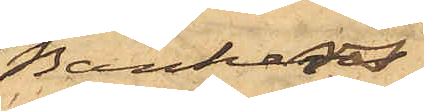Bankers
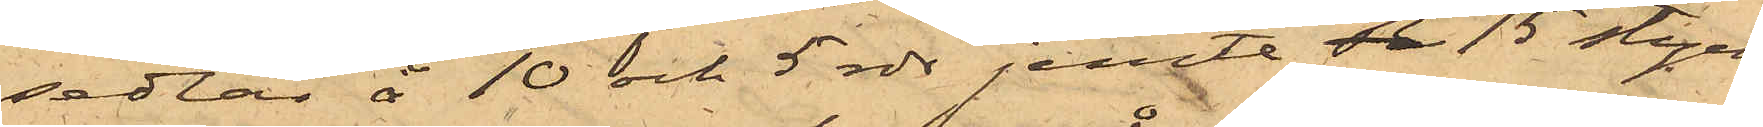sedlar å 10 och 5 rdr jemte de 15 stycken
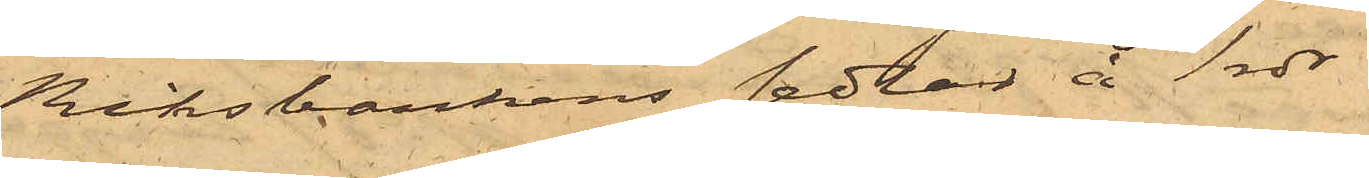Riksbankens sedlar å 1 rdr.
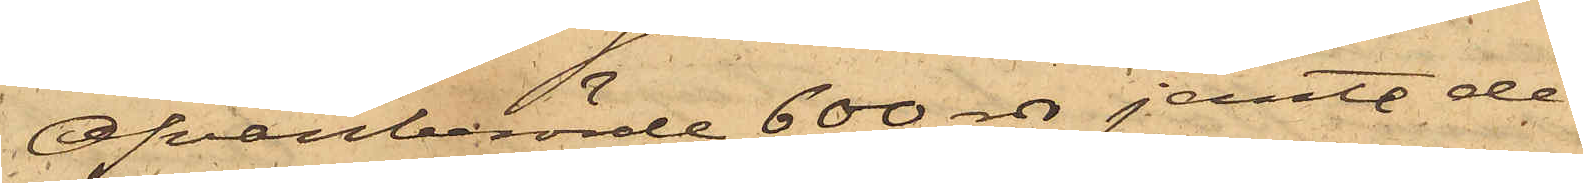Ofvanberörde 600 rdr jemte de
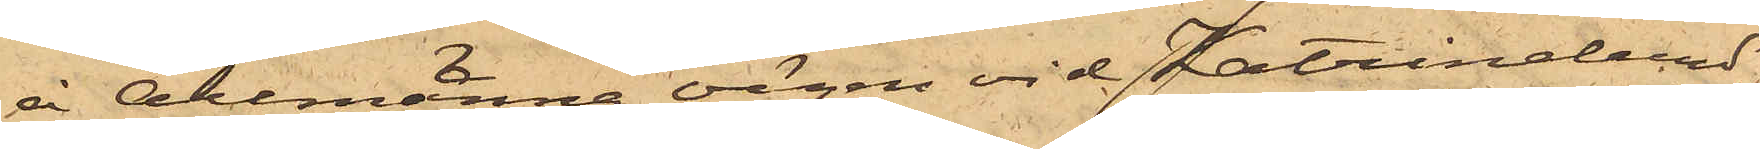å Allmänna vägen vid Katrinelund
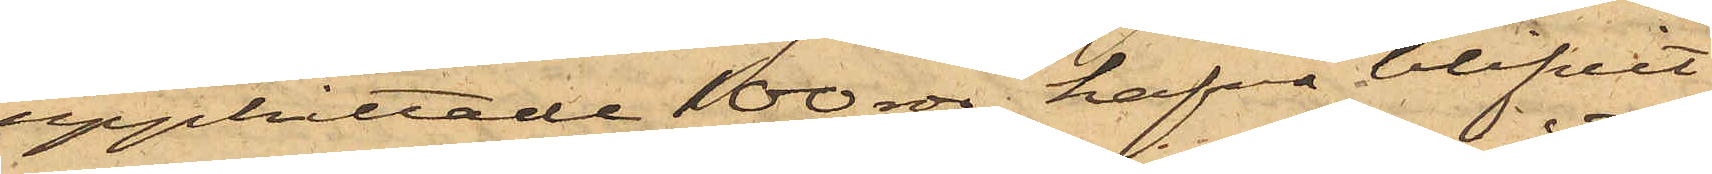upphittade 100 rdr, hafva blifvit
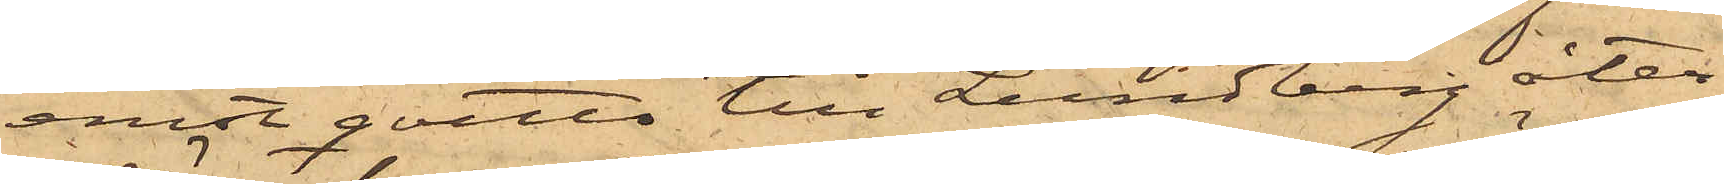emot qvitto till Lundberg åter¬
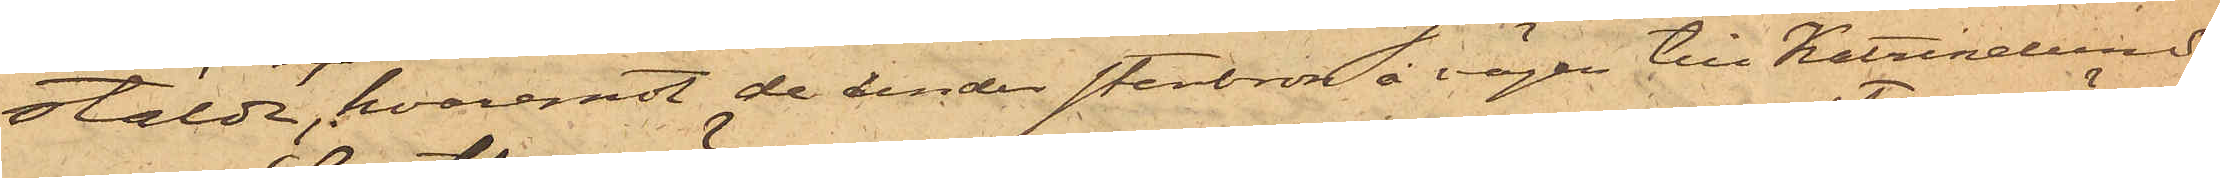stälde, hvaremot de under stenbron å vägen till Katrinelund
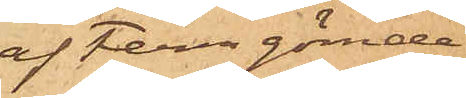af Ferm gömde
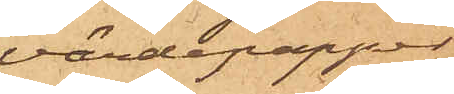värdepapper
